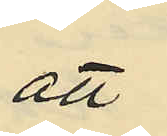att
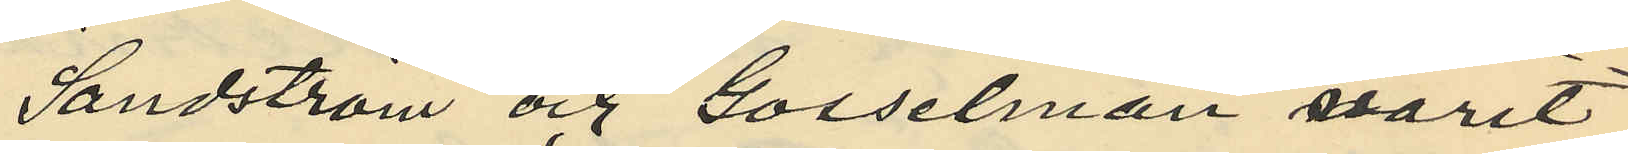Sandström och Gosselman varit
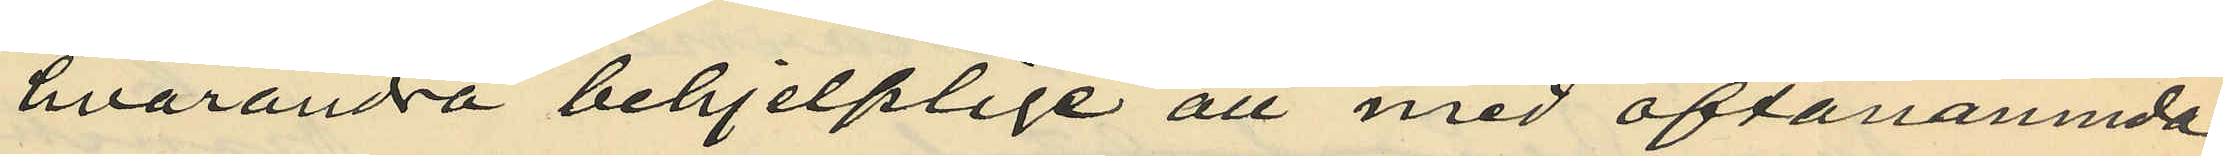hvarandra behjelplige att med oftanämnda
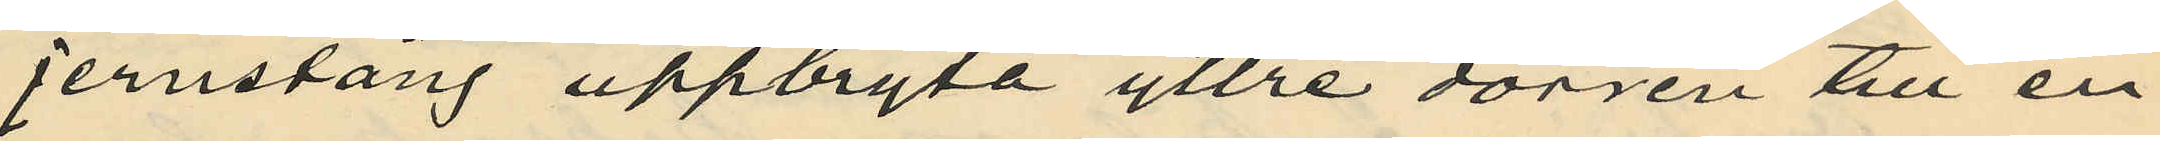jernstång uppbryta yttre dörren till en
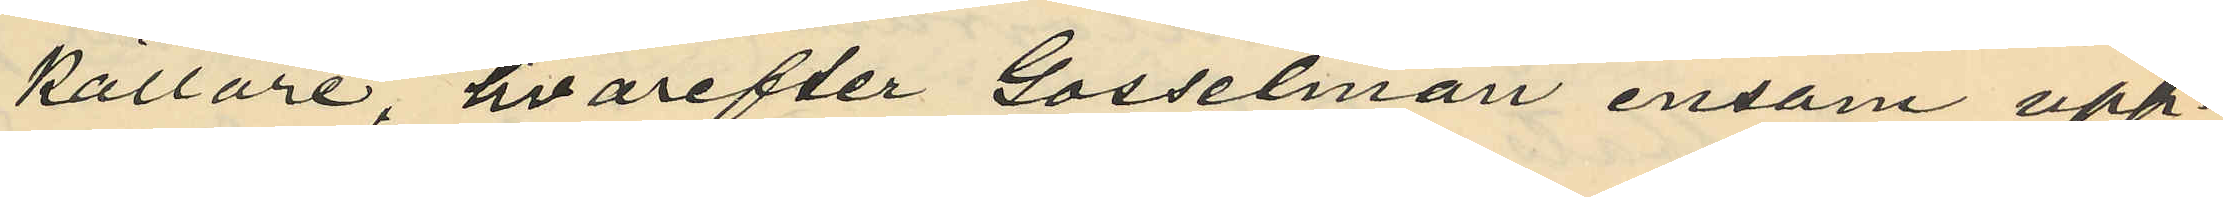källare, hvarefter Gosselman ensam upp¬
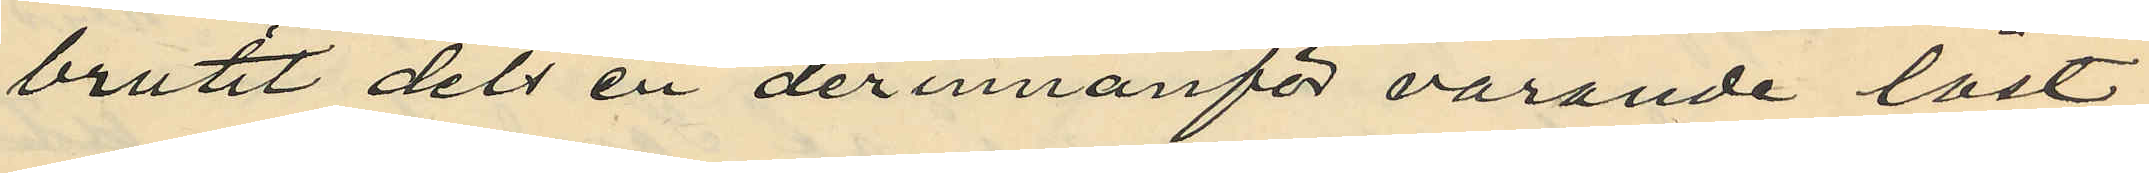brutit dels en derinnanför varande låst
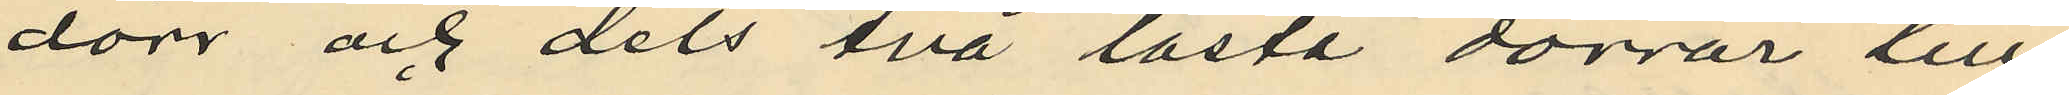dörr och dels två låsta dörrar till
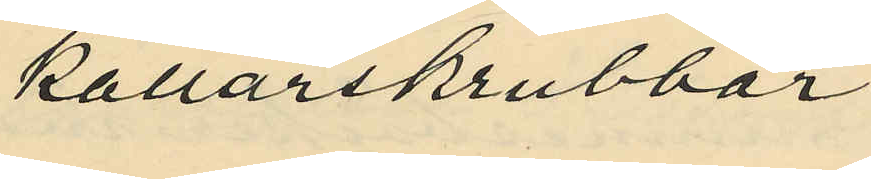källarskrubben;
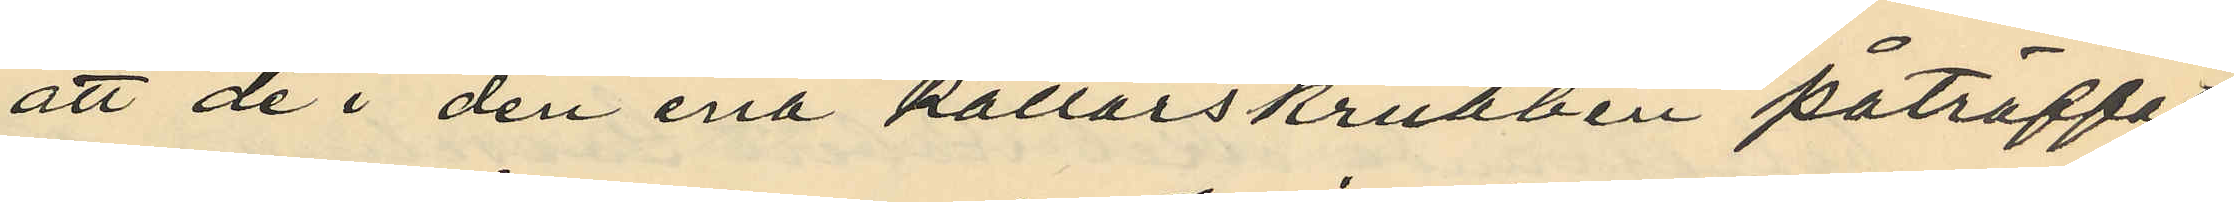att de i den ena källarskrubben påträffat
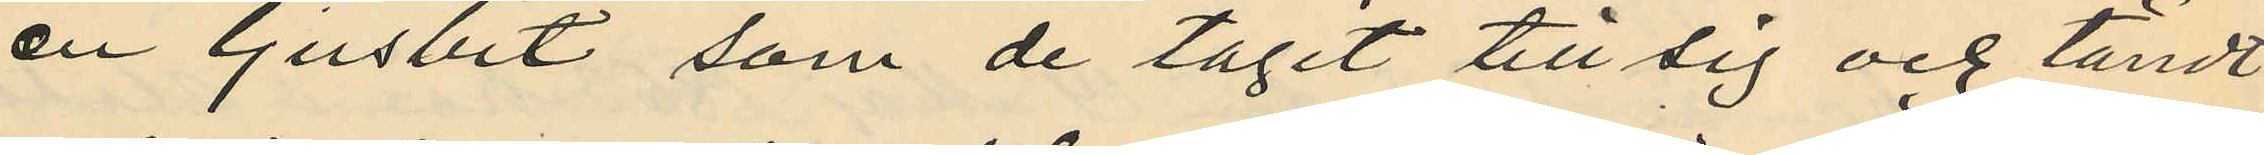en ljusbit, som de tagit till sig och tändt
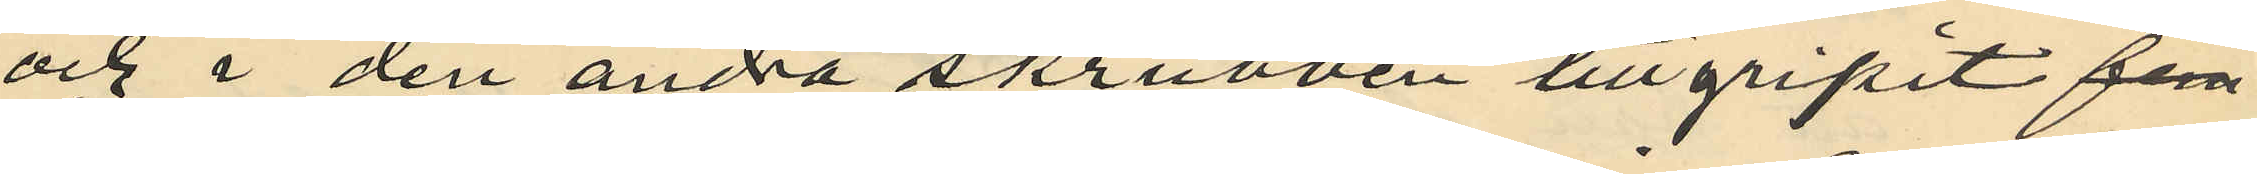och i den andra skrubben tillgripit fem
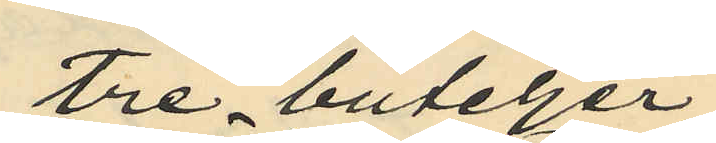tre buteljer
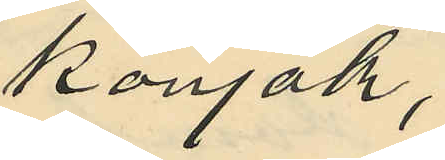konjak,
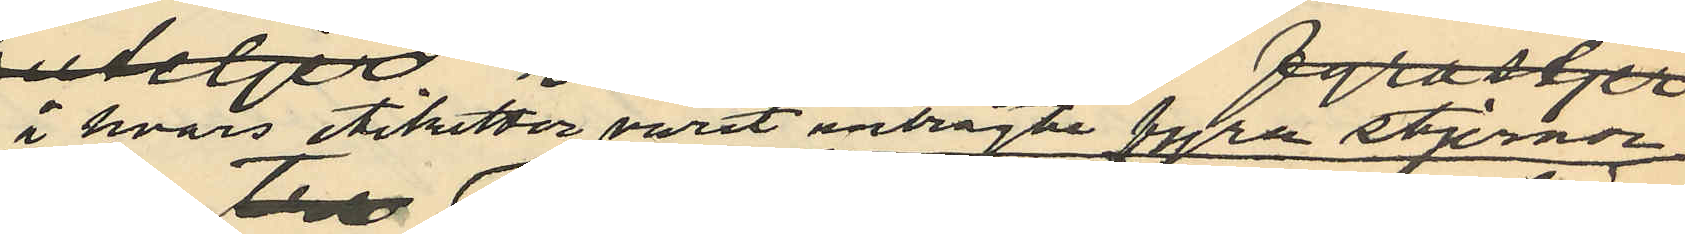I vars etiketter varit anbrakte fyra stjernor
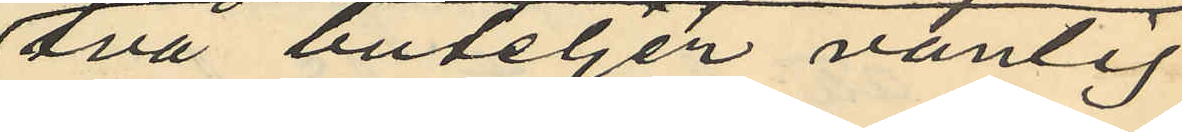två buteljer vanlig
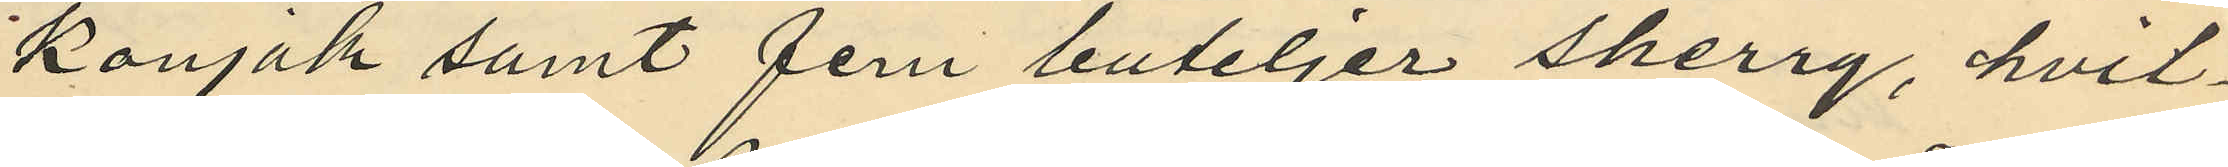konjak samt fem buteljer sherry, hvil¬
